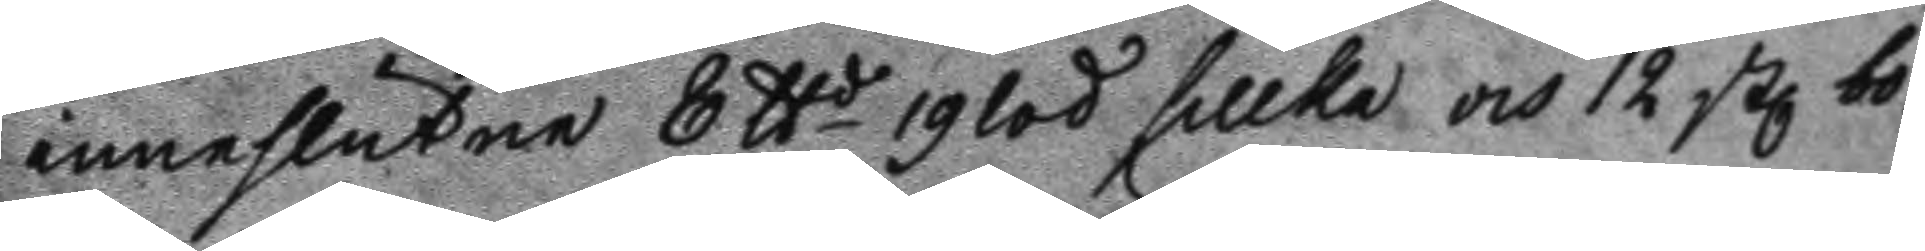inneslutne 8 ttd 9 lod sillka och 12 st bo¬ 
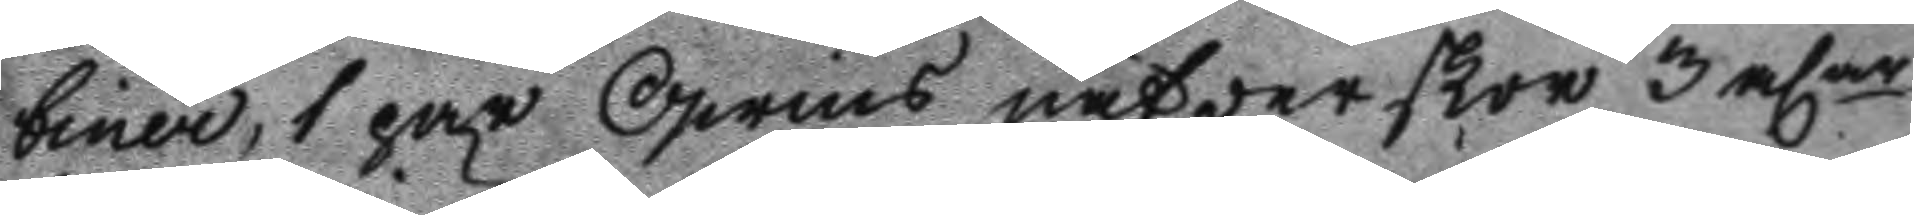biner, 1 par Qwins näfwer skor 3 alar 
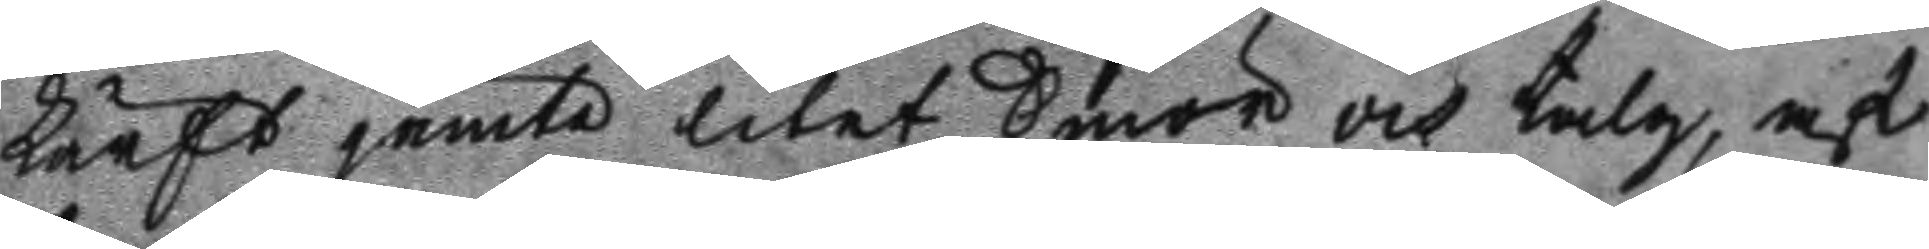lärft jämte litet Smör och talg, af
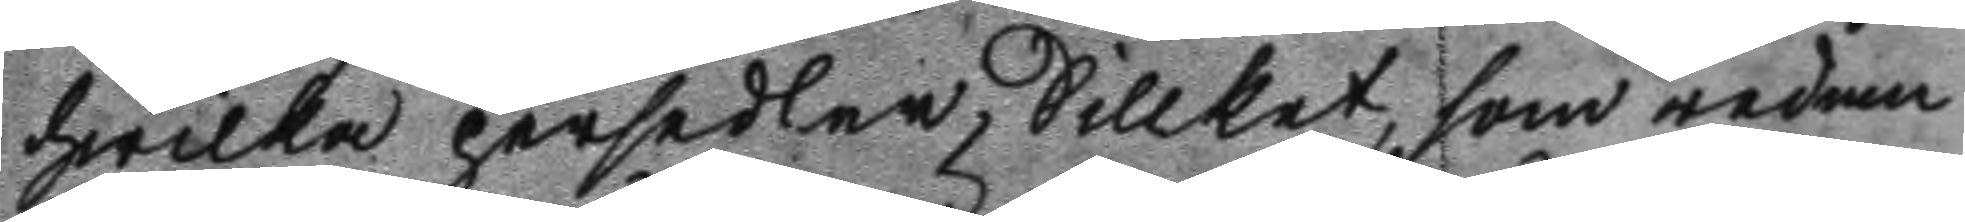hwilka persedler Sillket, som redan
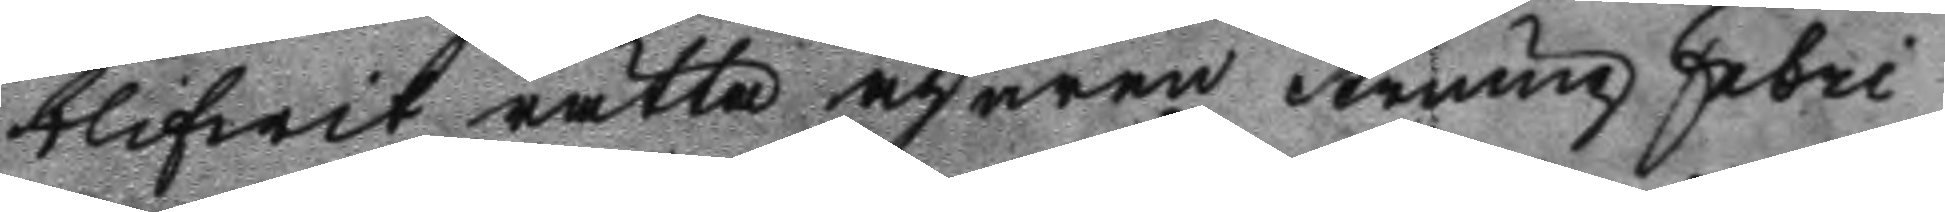blifwit rätta ägaren strump Fabri¬
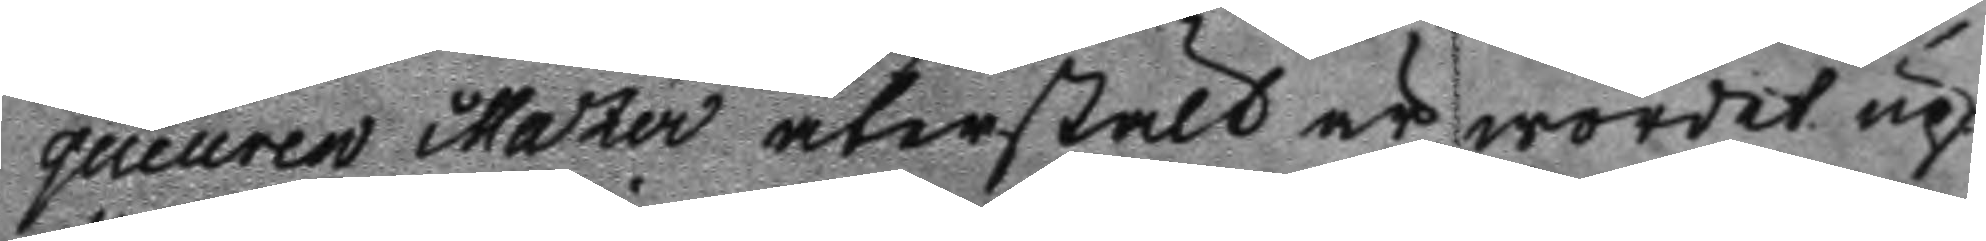queuren Mastér återstält är wordet up¬
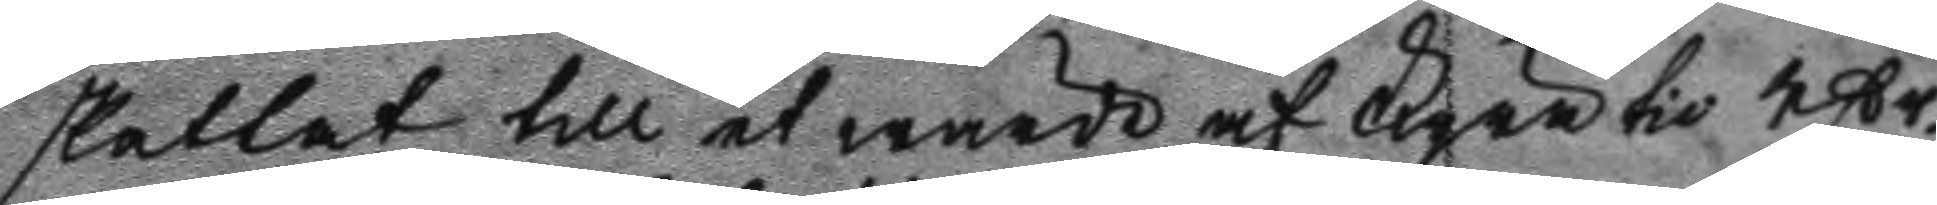skattat till et wärde af Fyratio rßr. 
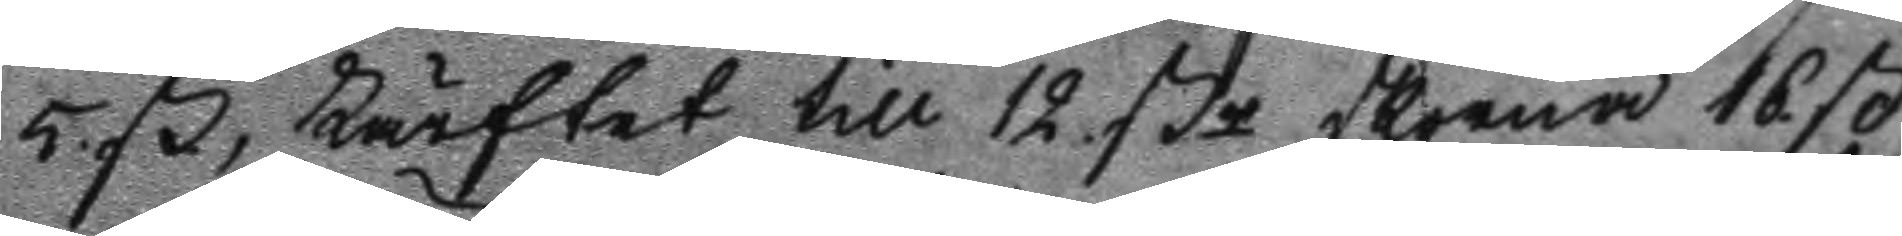5 ß, Lärftet till 12 ßr skorna 16 ß  
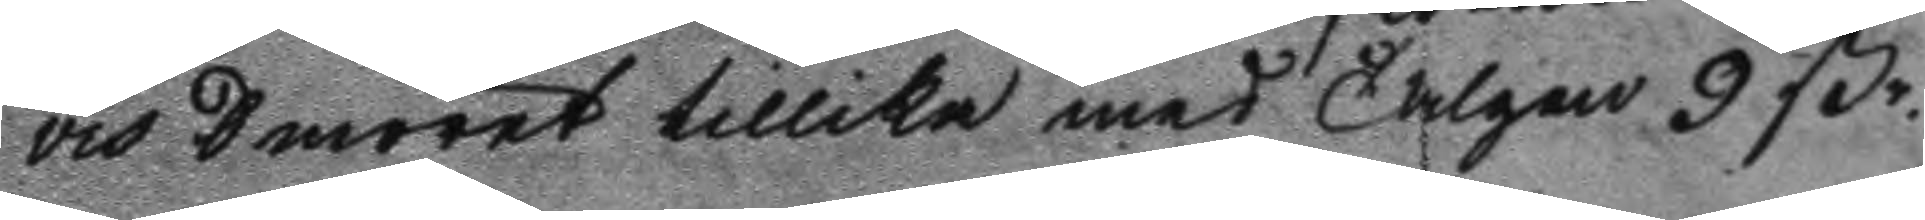och Smöret tillika med Talgen 9 ßr. 
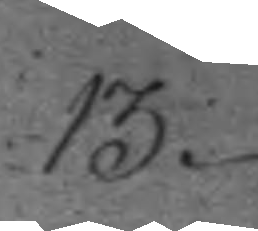13.
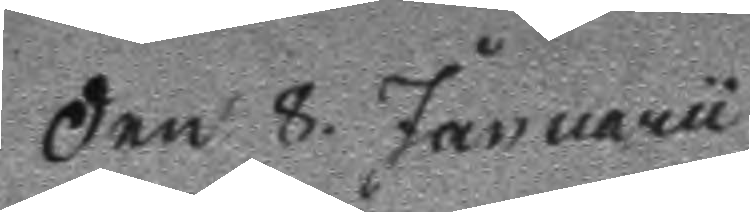Den 8. Januaru
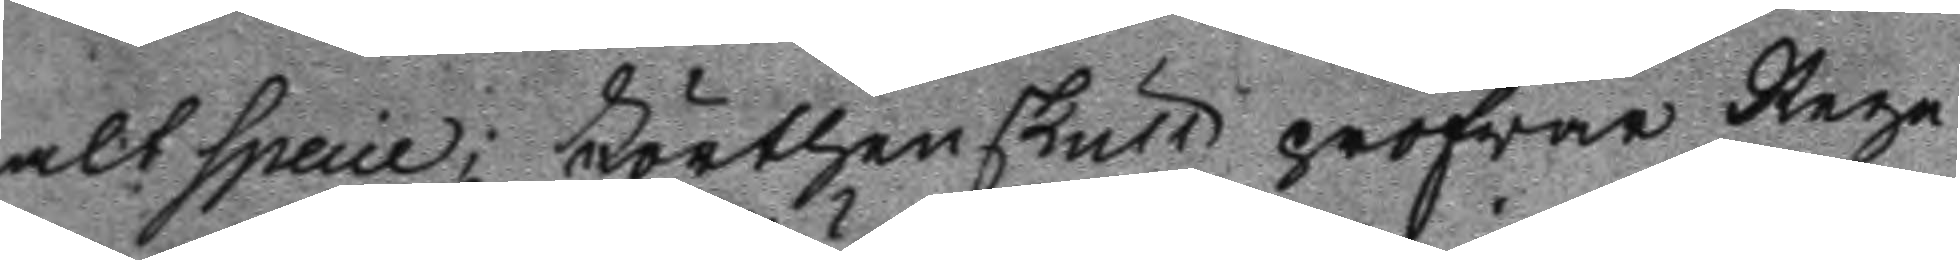alt specie; Förthenskull profwar Rege
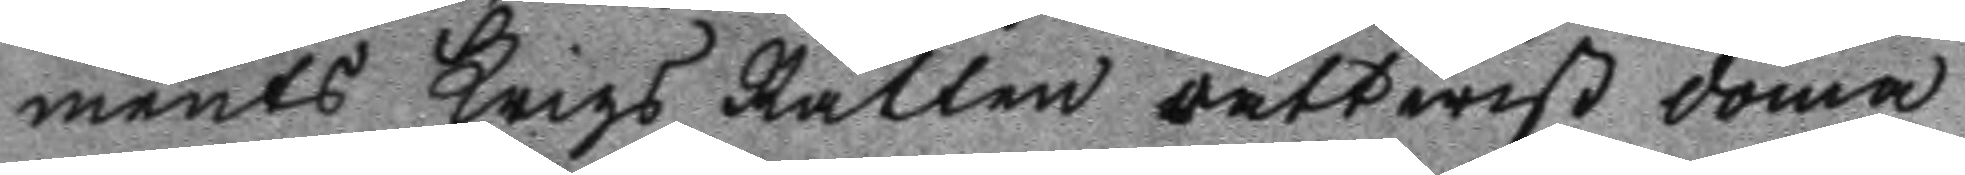ments Krigs Rätten rättwist döma
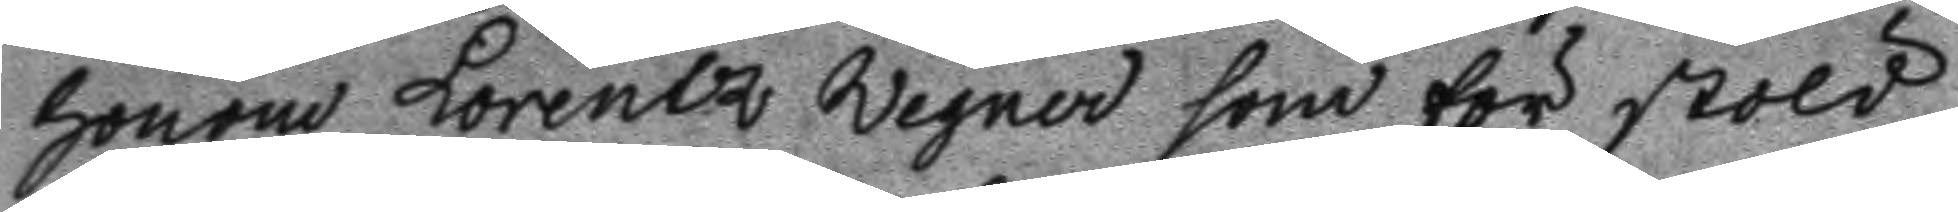honom Lorentz Wegner som för stöld
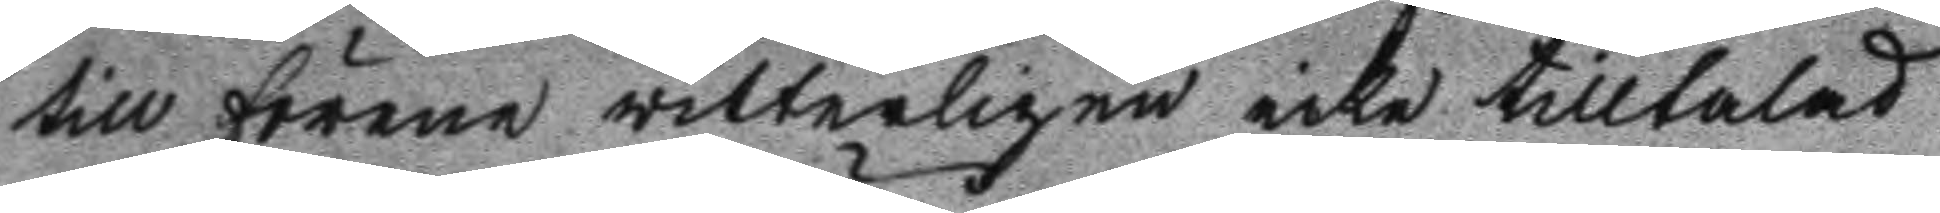till förene witterligen icke tilltalad
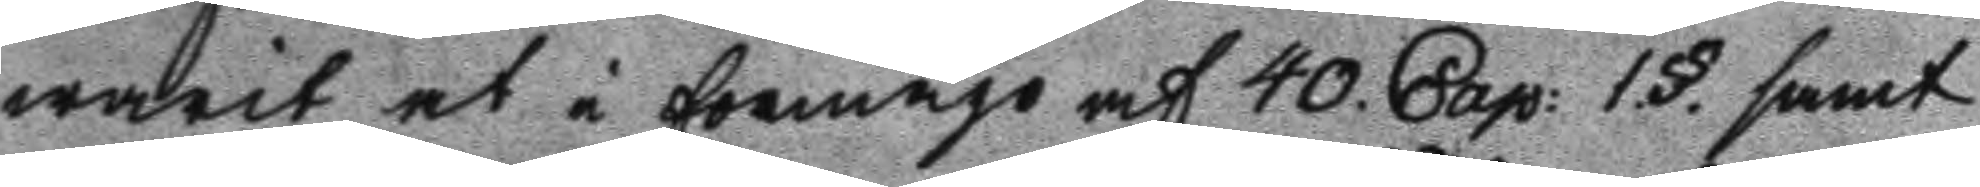warit, at i förmågo af 40. Cap: 1.§. samt
